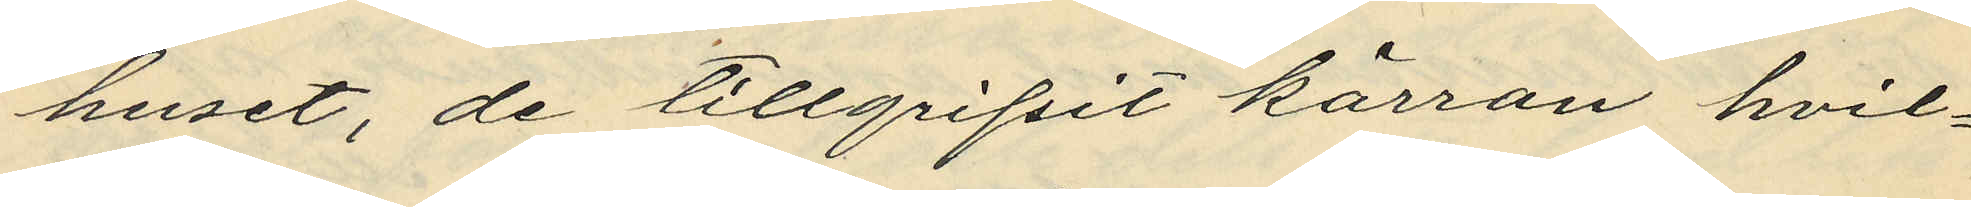huset, de tillgripit kärran hvil¬
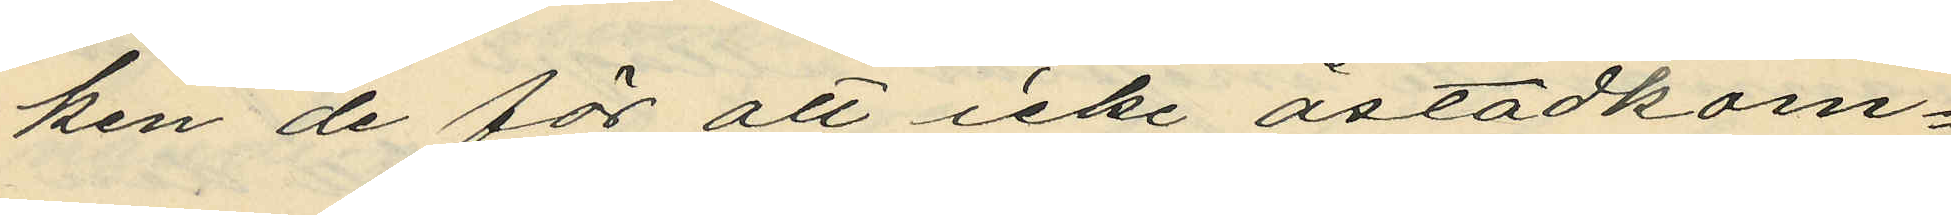ken de för att icke åstadkom¬
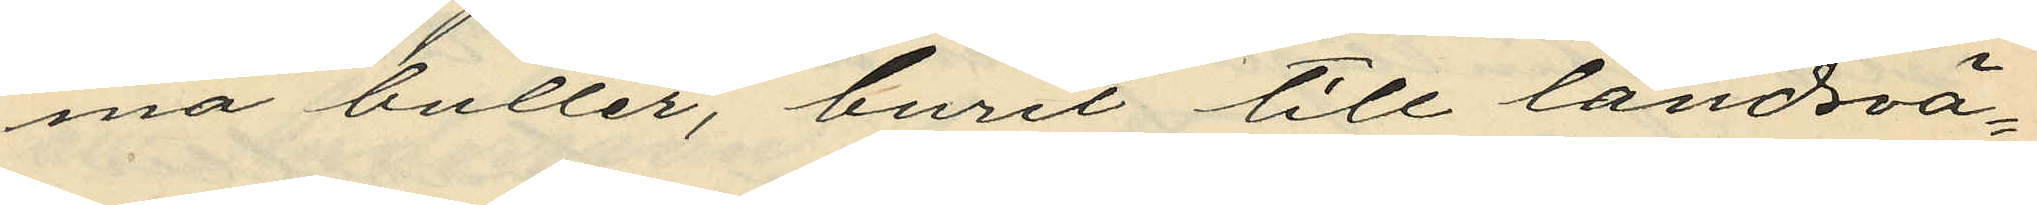ma buller, burit till landsvä¬
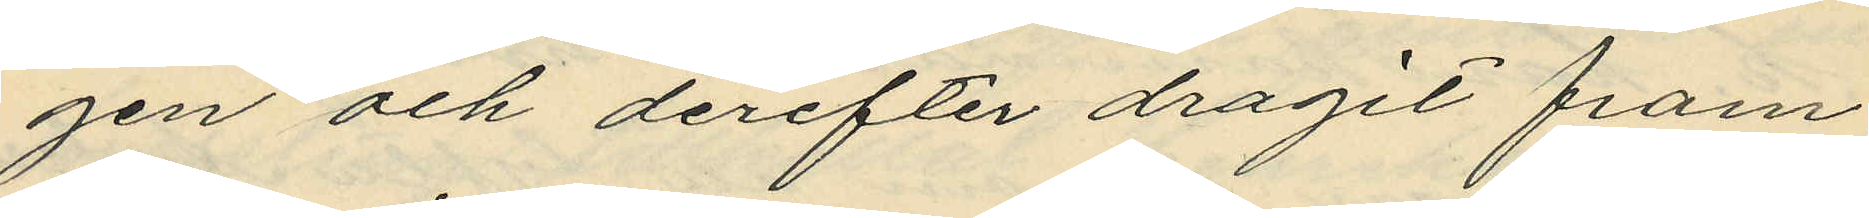gen och derefter dragit fram
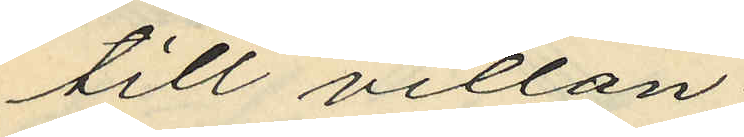till villan.
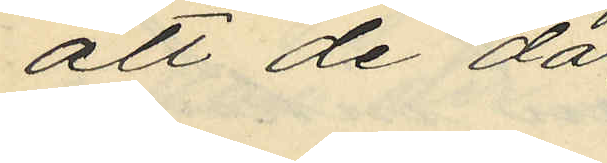att de då
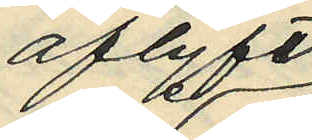aflyft
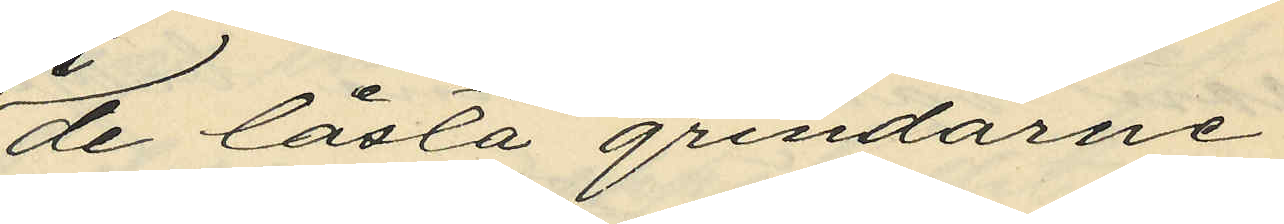de låsta grindarne
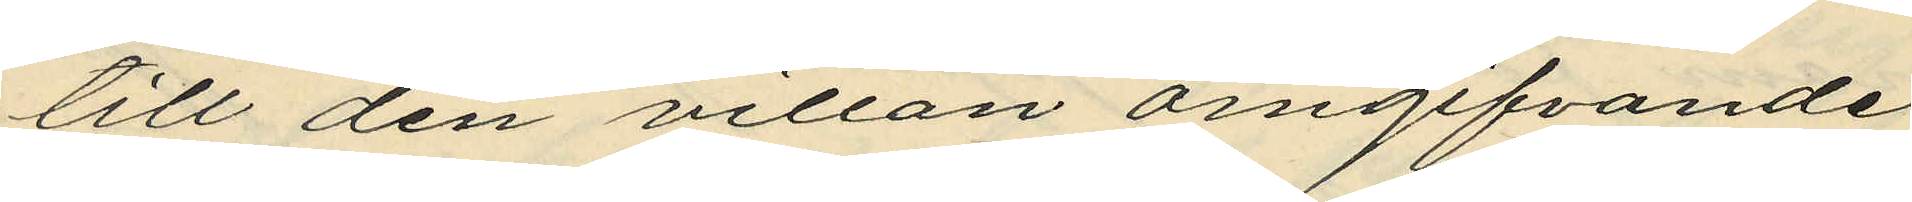till den villan omgifvande
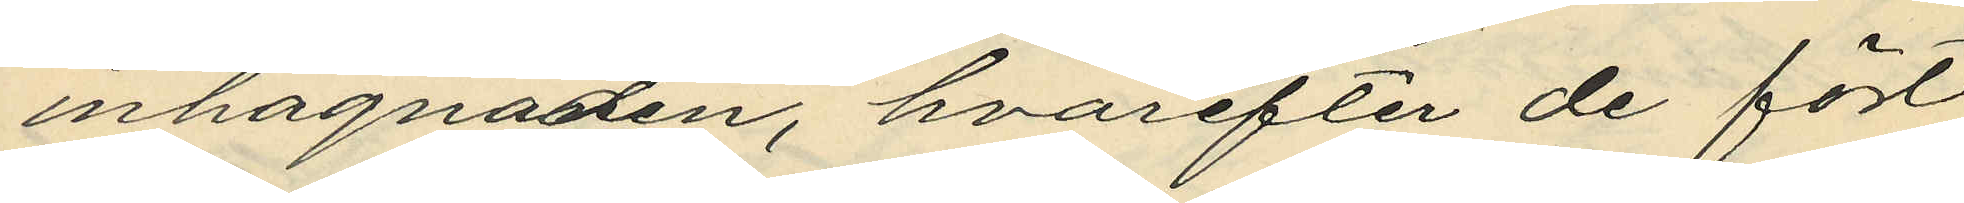inhägnaden, hvarefter de fört
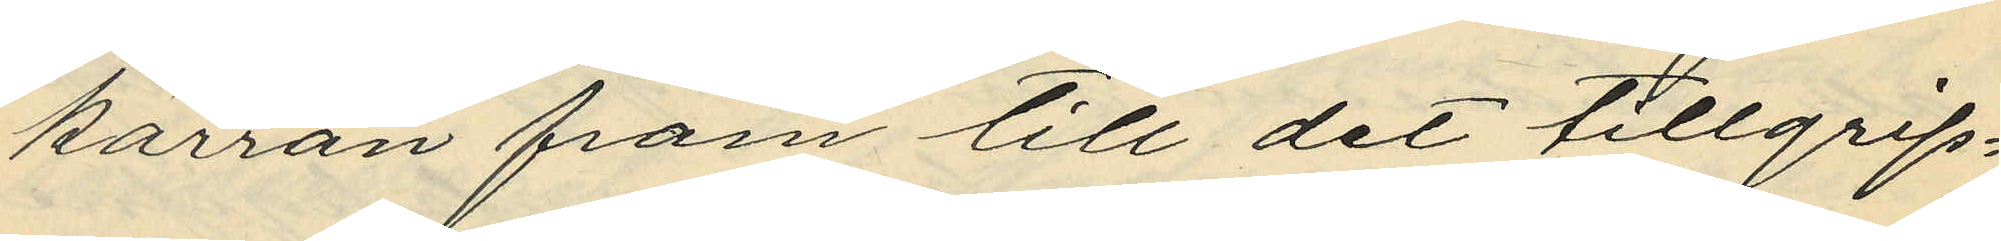kärran fram till det tillgrip¬
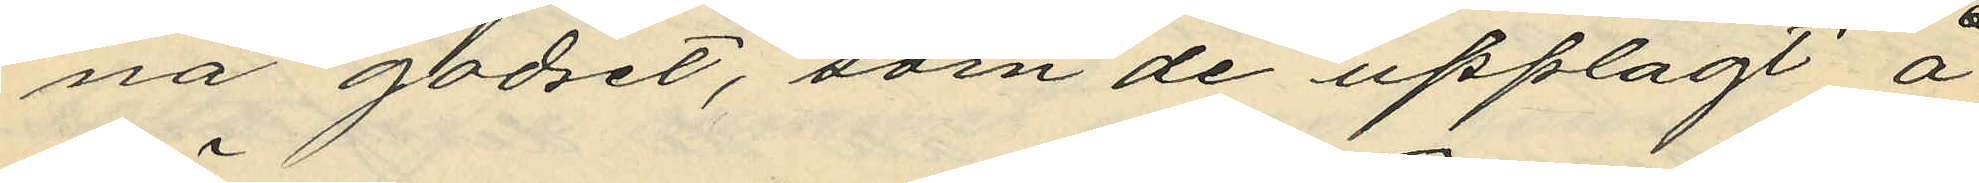na godset, som de upplagt å
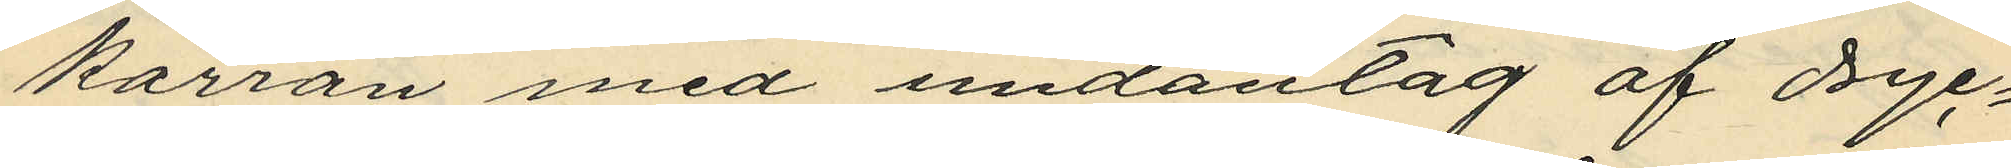kärran med undantag af dryc¬
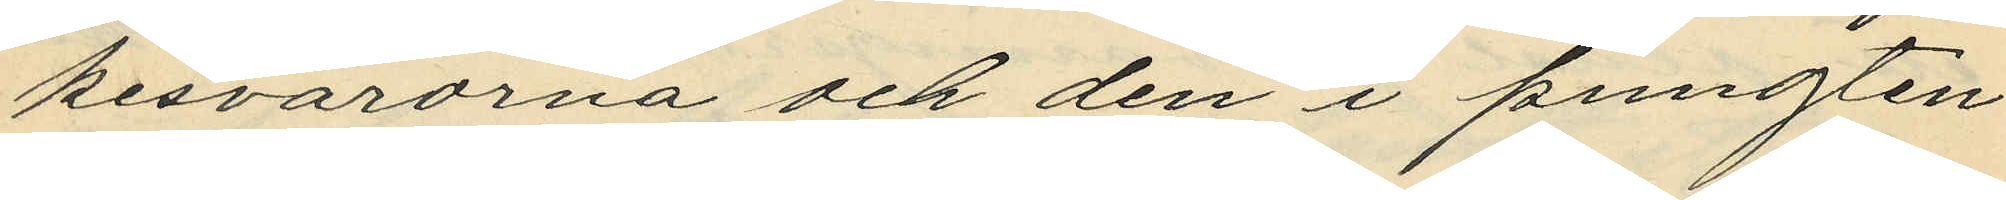kesvarorna och den i pungten
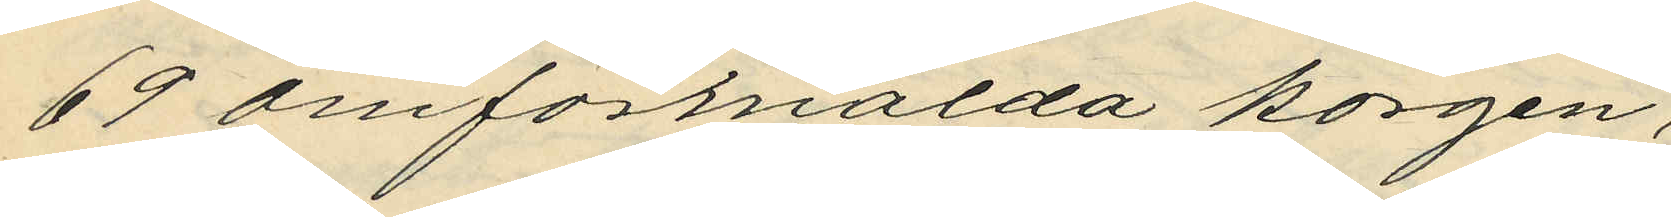69 omförmälda korgen,
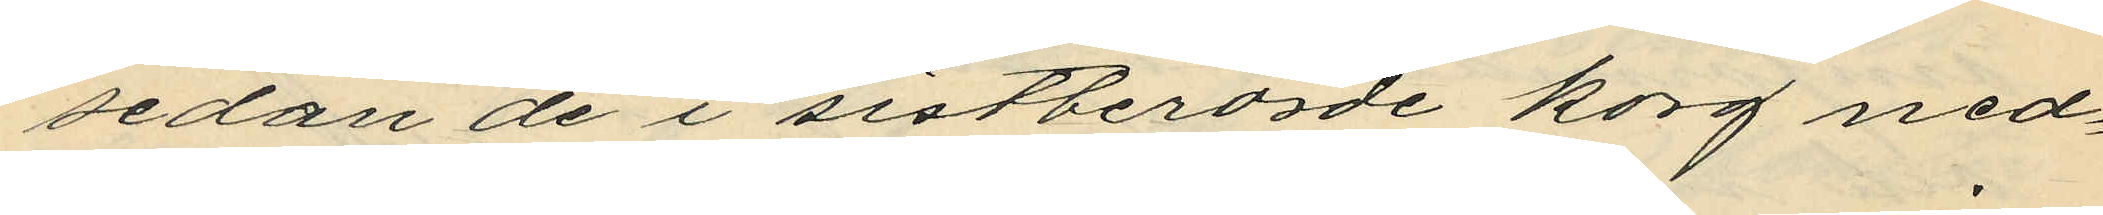sedan de i sistberörde korg ned¬
